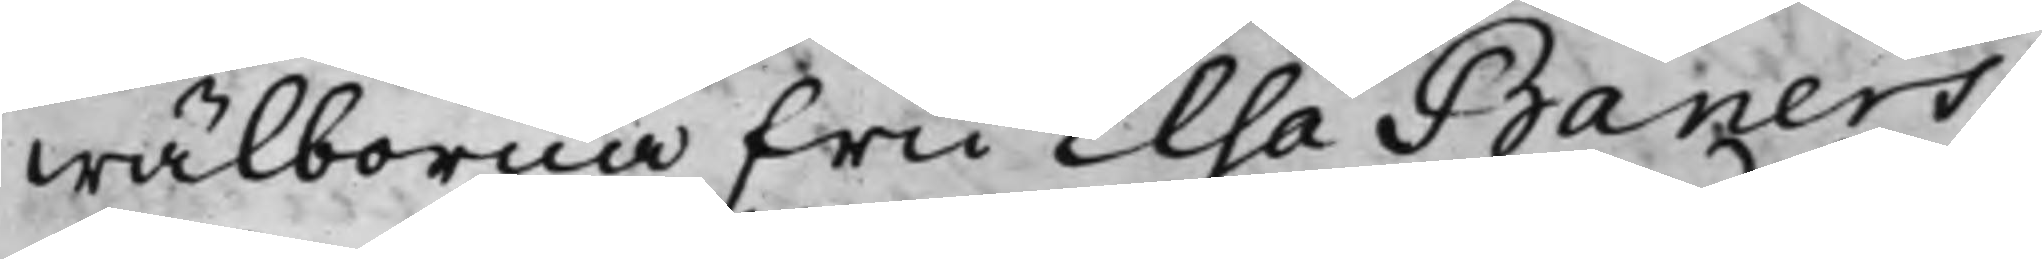wälborna Fru Elsa Baners
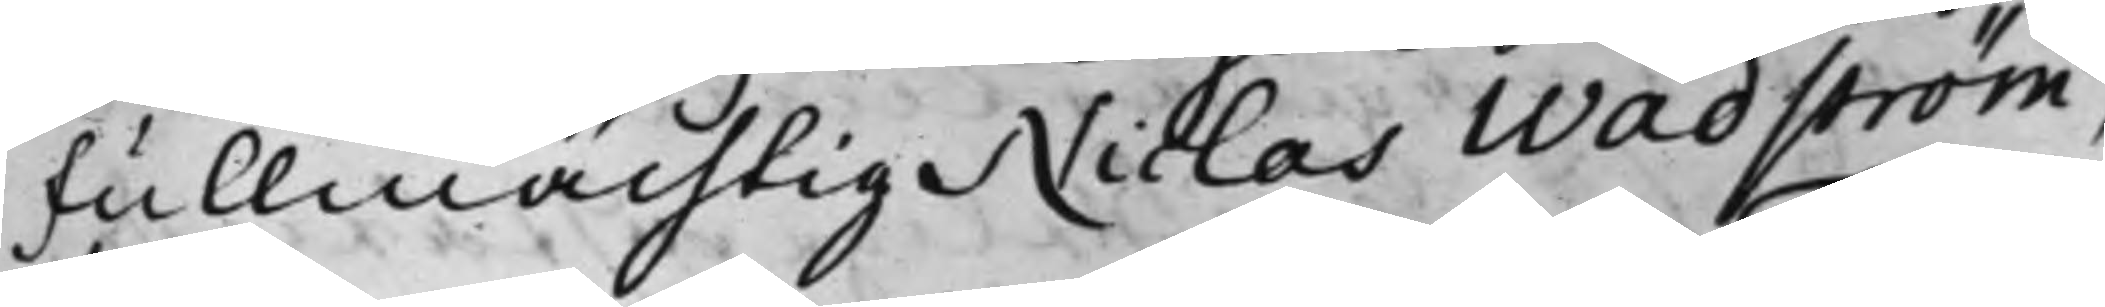Fullmächtig Niclas Wadström,
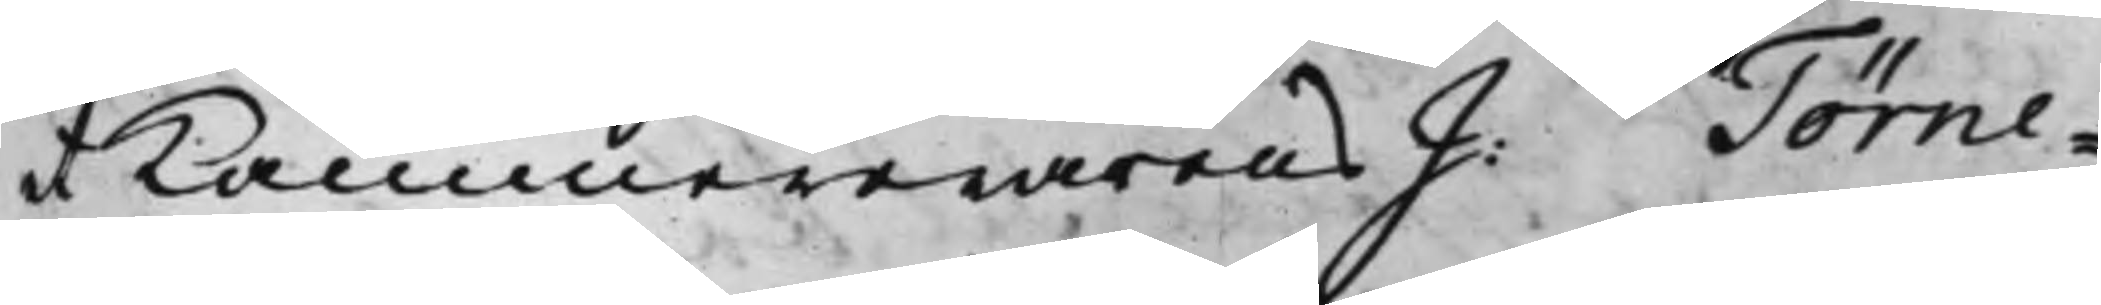et Kammererarens J: Törne¬
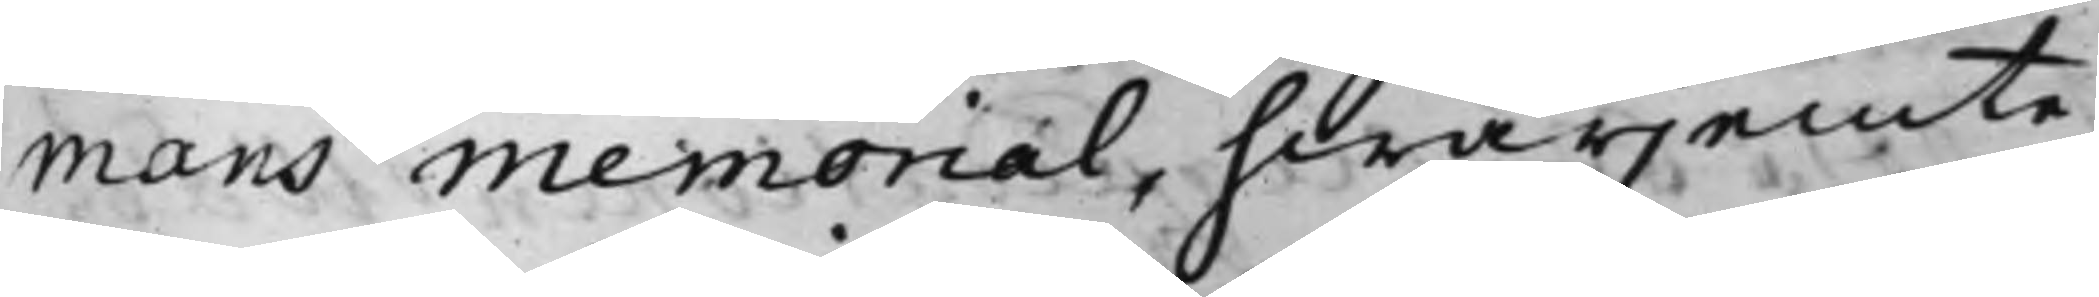mans Memorial, hwarjemte
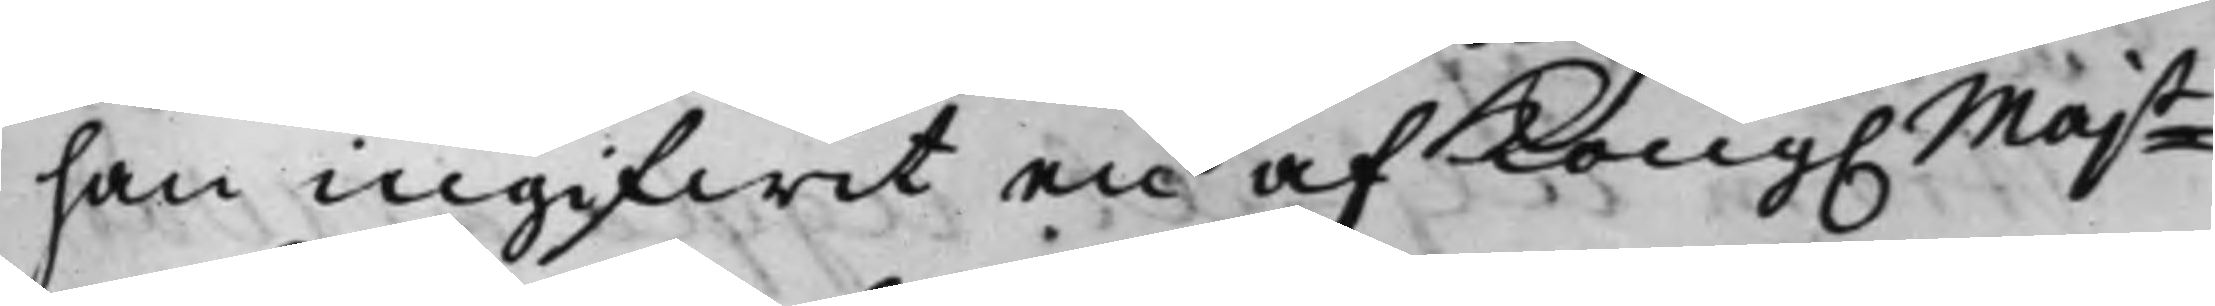han ingifwit en af Kong. Maj.t
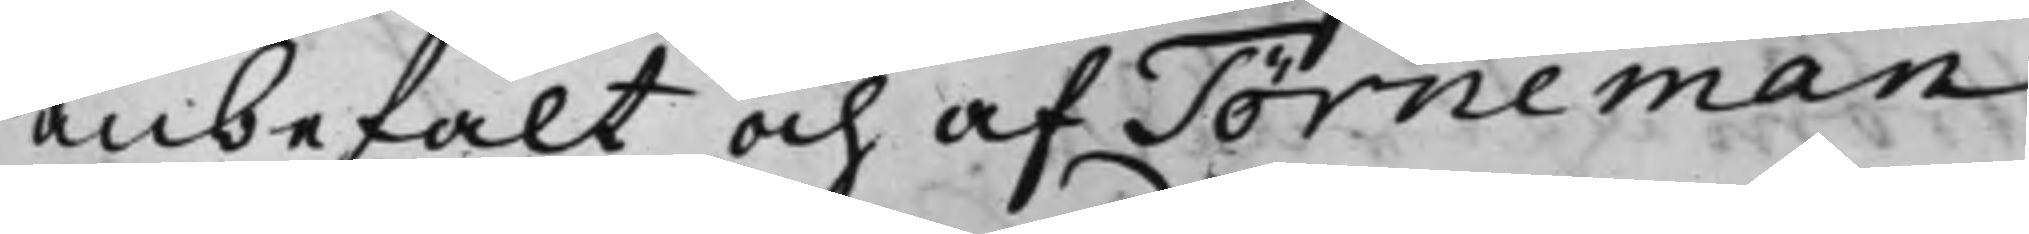anbefalt och af Törneman
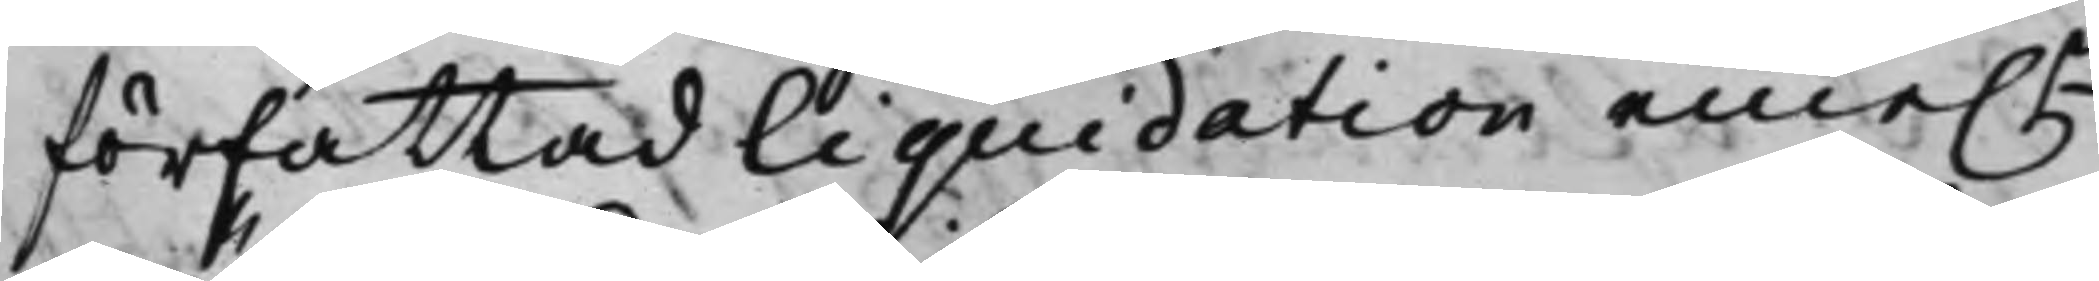författad liquidation eme.n
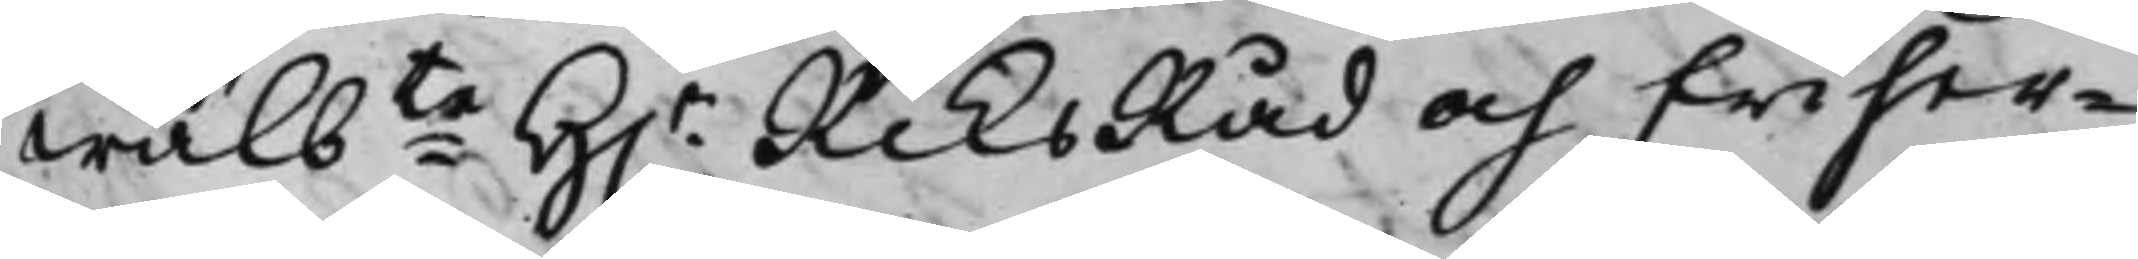Wälbte H.r RiksRåd och Friher¬
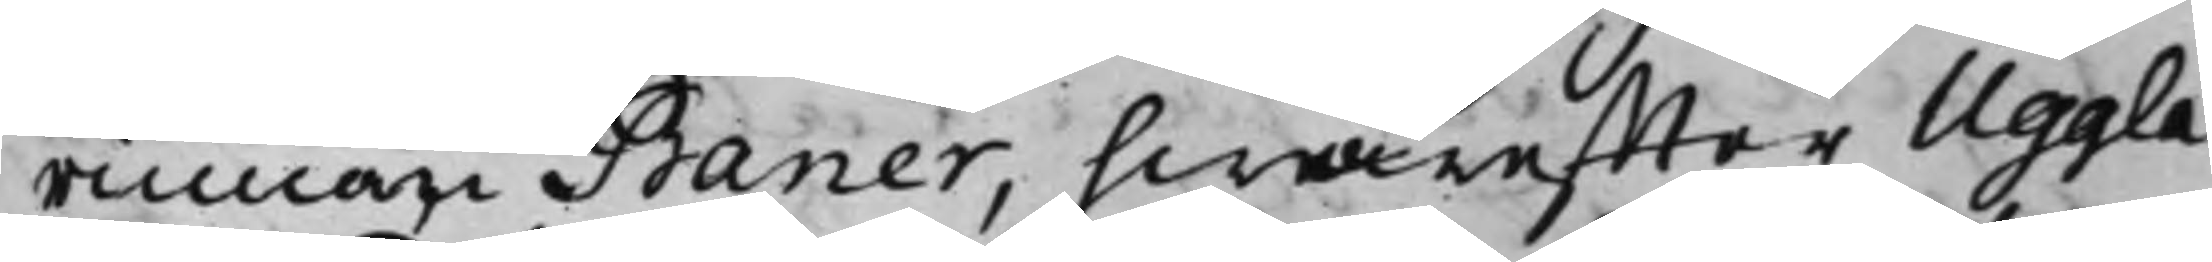rinnan Baner, hwareffter Uggla
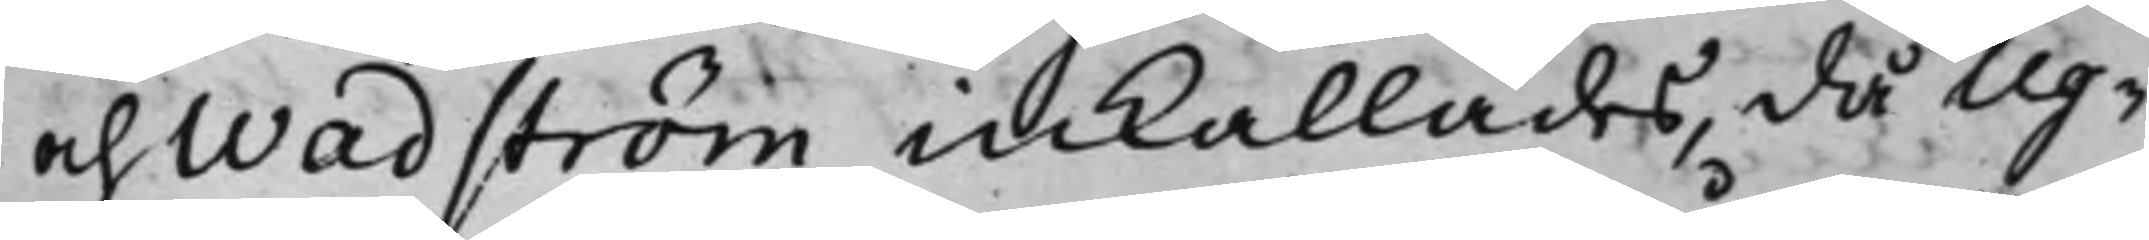och Wadström inkallades, då Ug¬
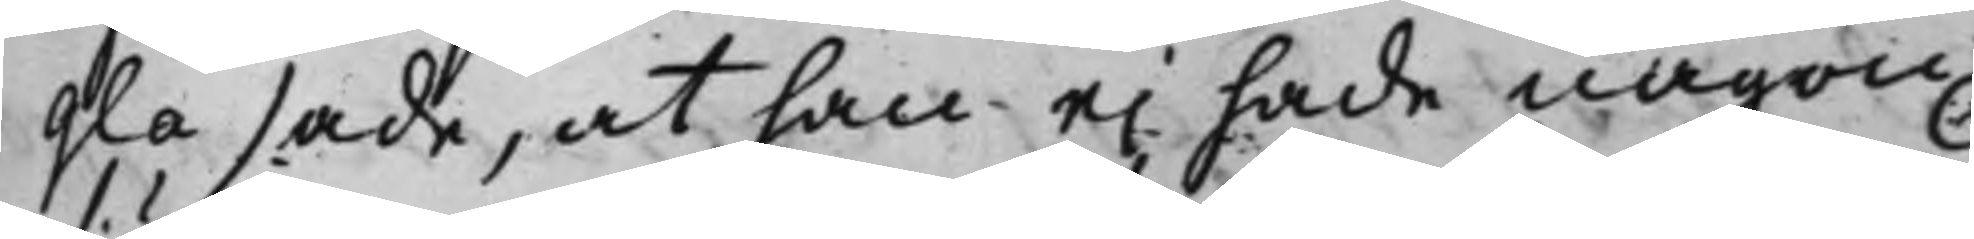gla sade, at han ej hade någon
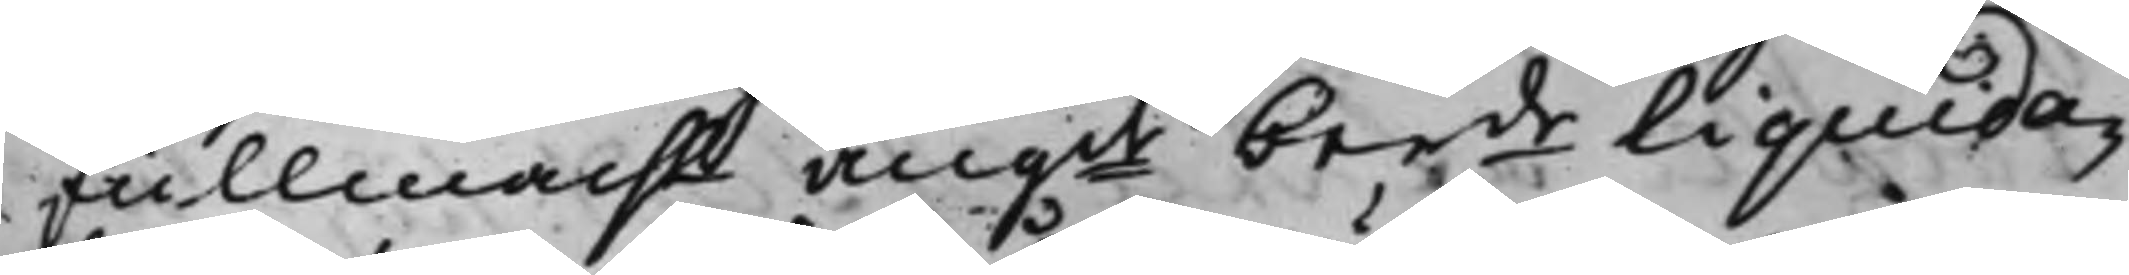fullmacht, angde berde Liquida¬
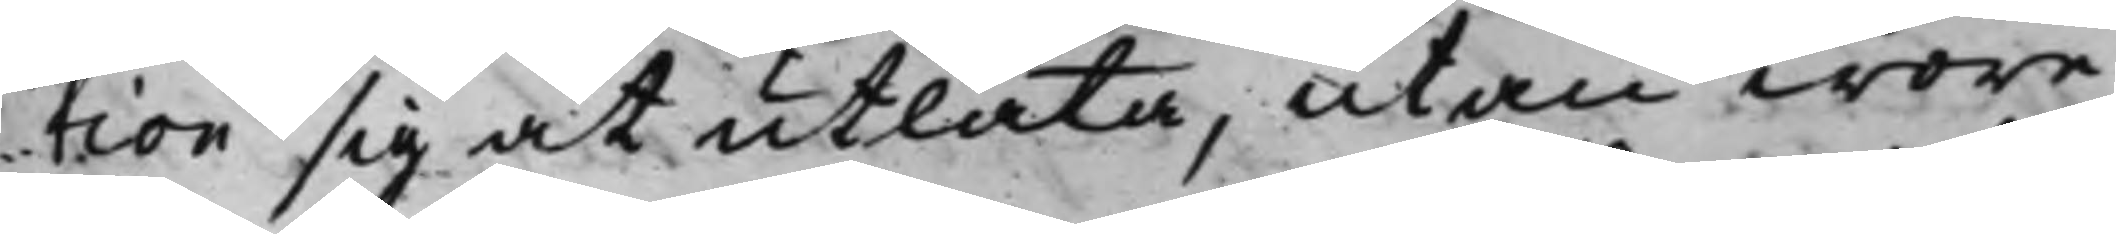tion sig at utlåta, utan wore
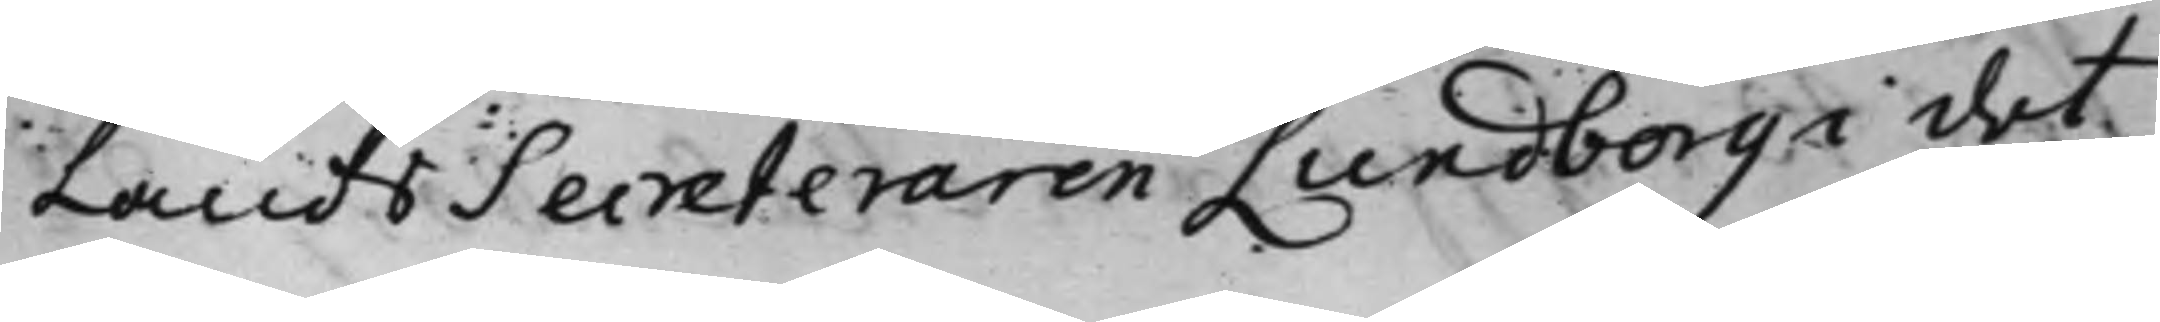LandsSecreteraren Lundborg i det
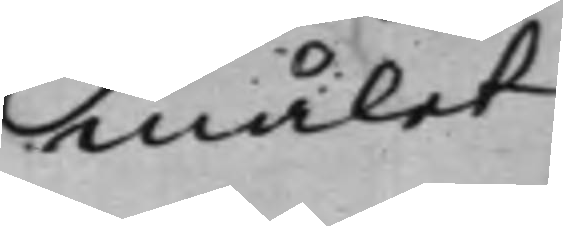målet
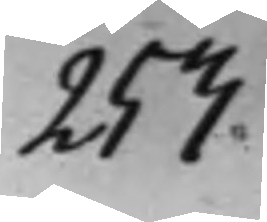253.
